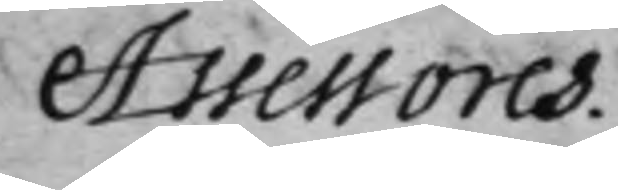Assessores.
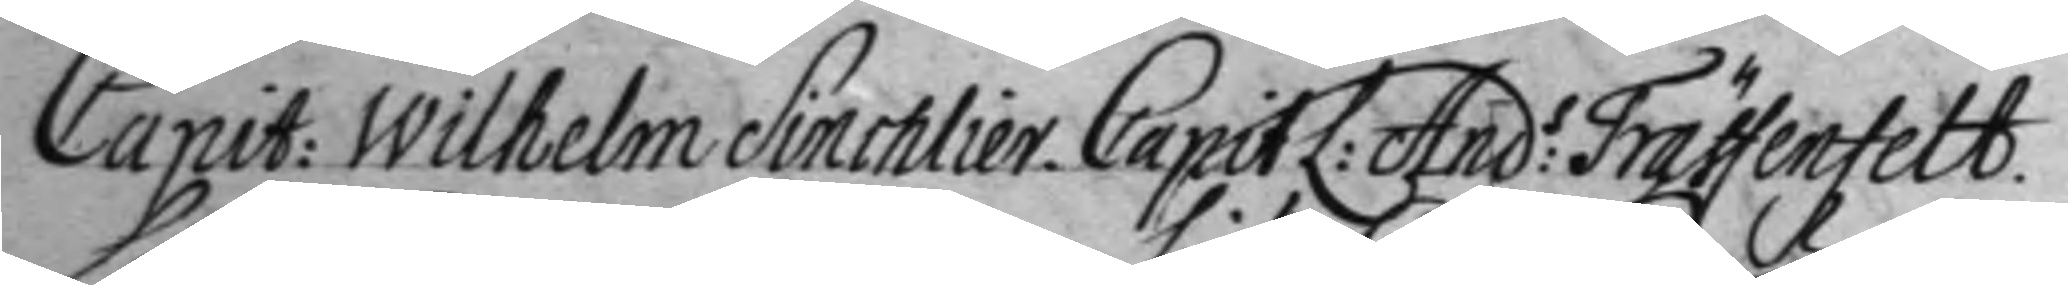Capit: Wilhelm Sinchlier. CapitL: And:s Träffenfeldt.
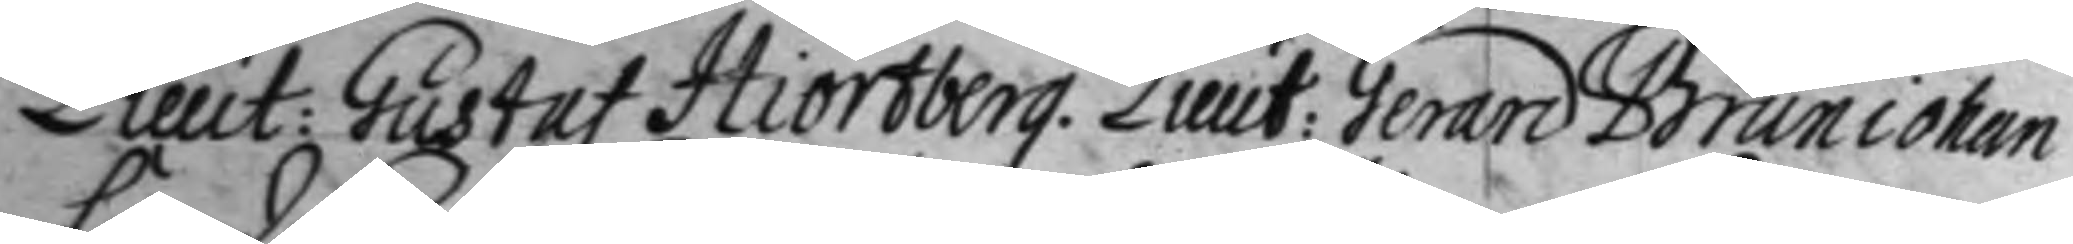Lieut: Gustaf Hiortberg. Lieut: Gerard Bruniohan
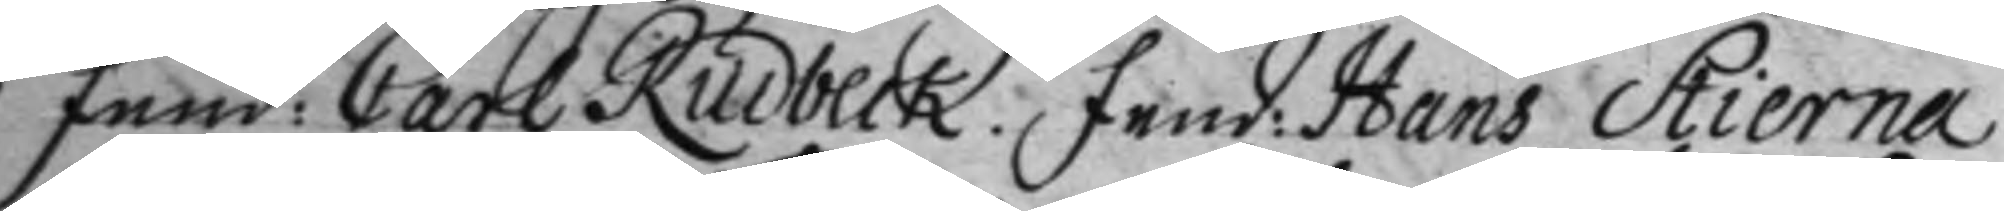Fänd: Carl Rudneck. Fend: Hans Stierna
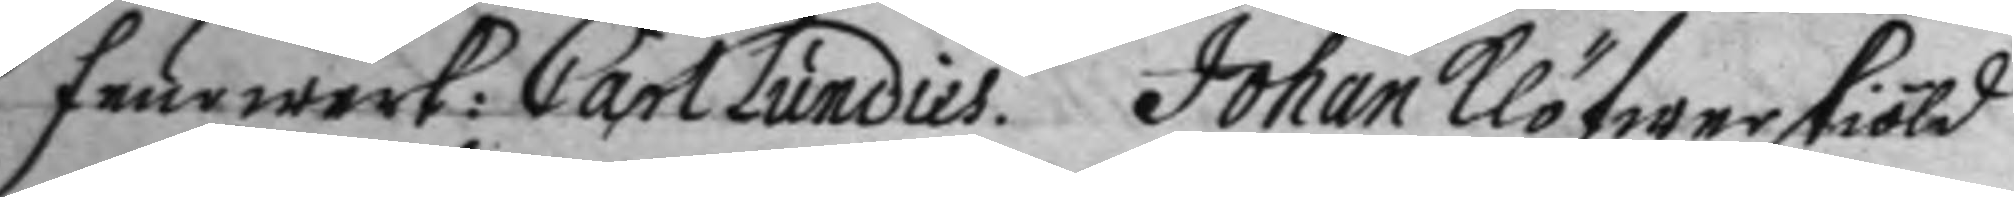Feuewerk:Carl Lundies. Johan Klöfwerskiöld
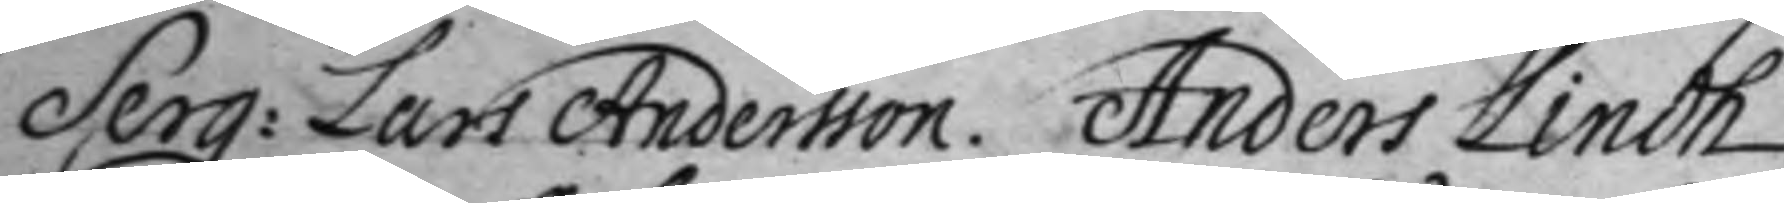Serg: Lars Andersson. Anders Lindh
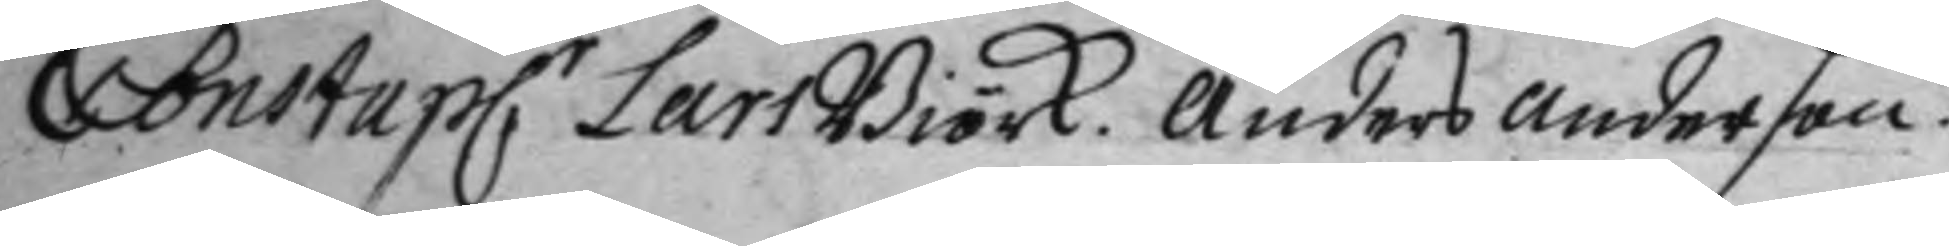Constapl: Lars Biörk. Anders Anderson.
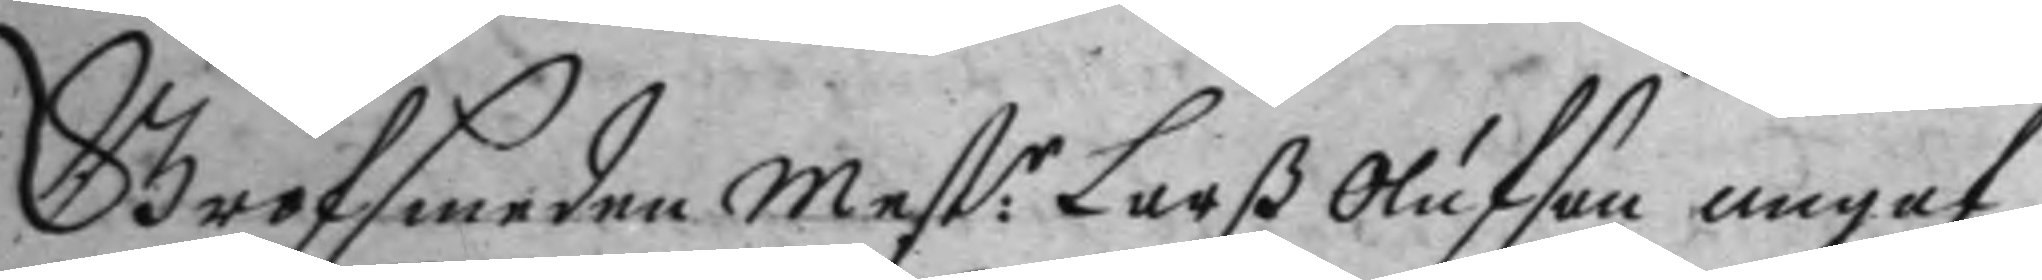Grofsmeden Mest:r Larß Olufson angaf
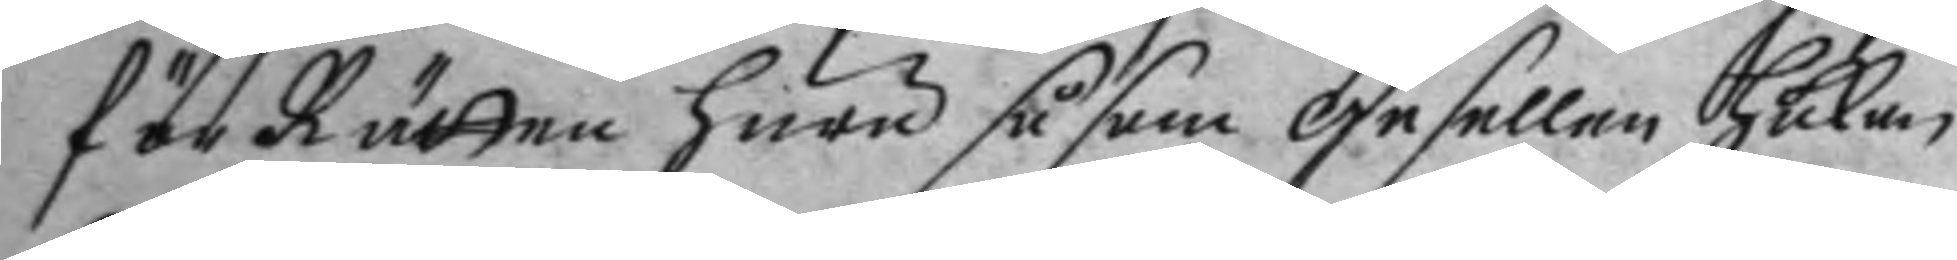för Rätten huru såsom gesellen Håkan
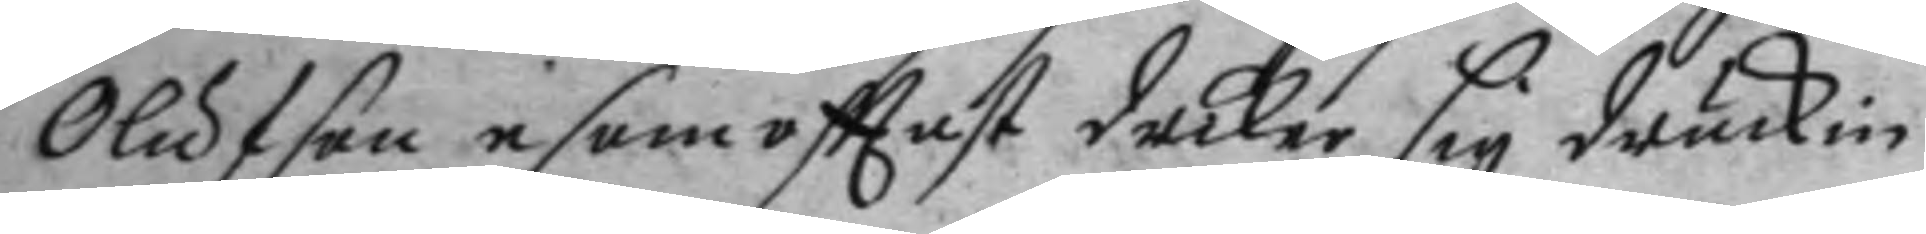Olufson i som ofttast driker sig druckin
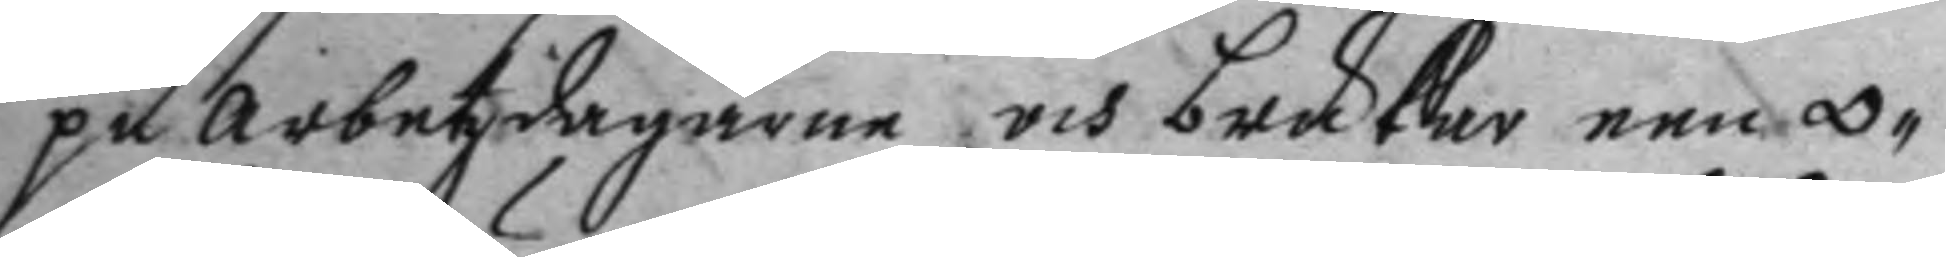på arbetzdagarne och brukar een 0¬
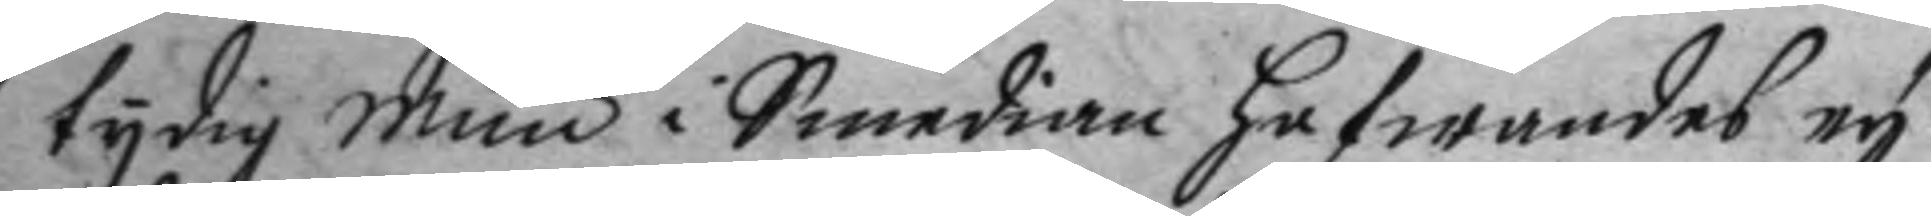tydig mun i Smedian hafwandes ey
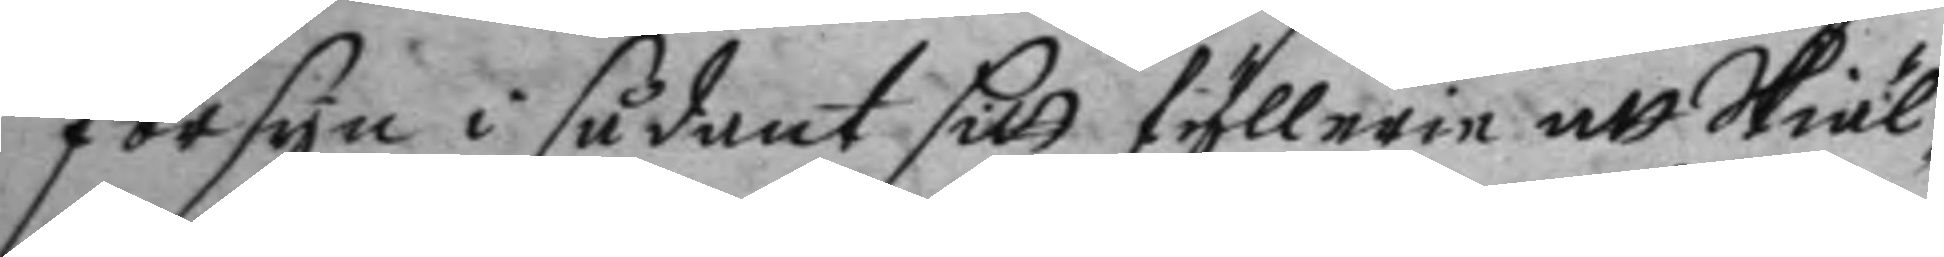försyn i sådant sitt fyllerie att Skiäl¬
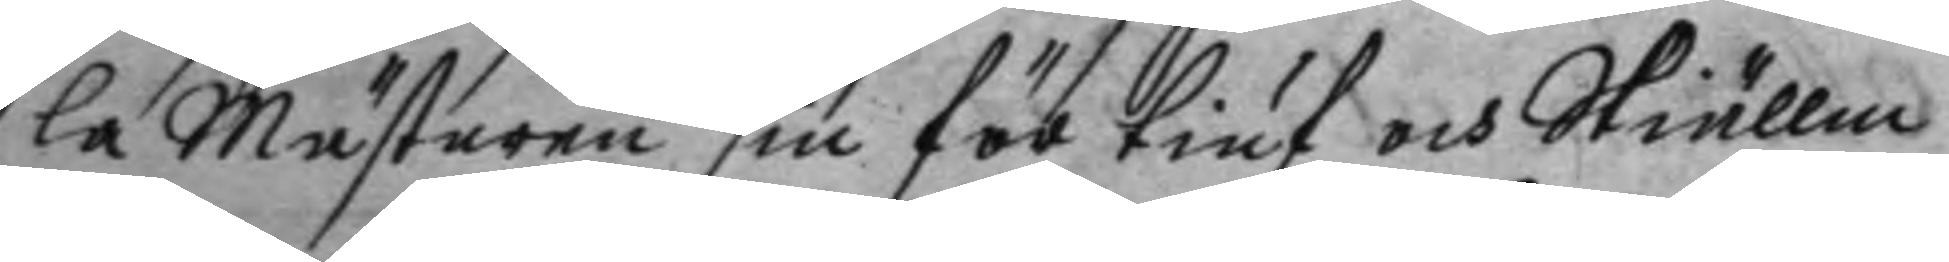la Mästaren sin för tiuf och Skiällm
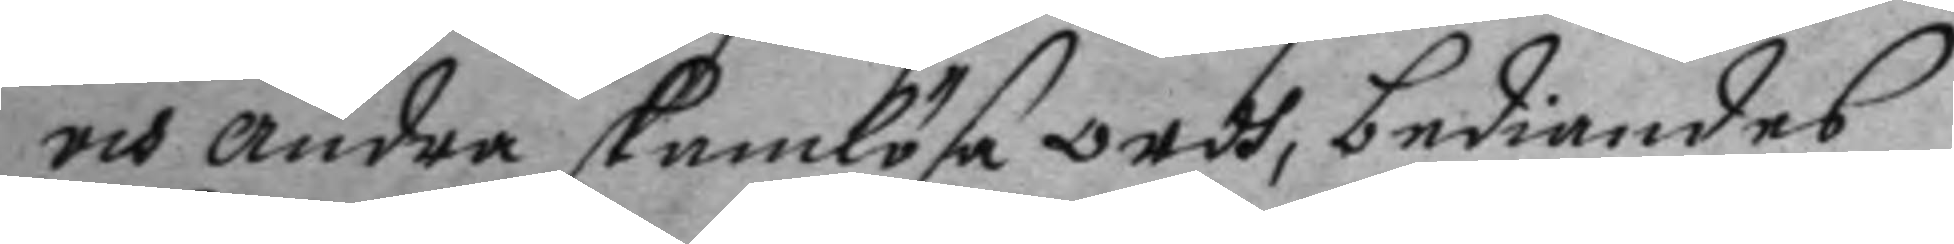och andra skamlösa ordh, bediandes
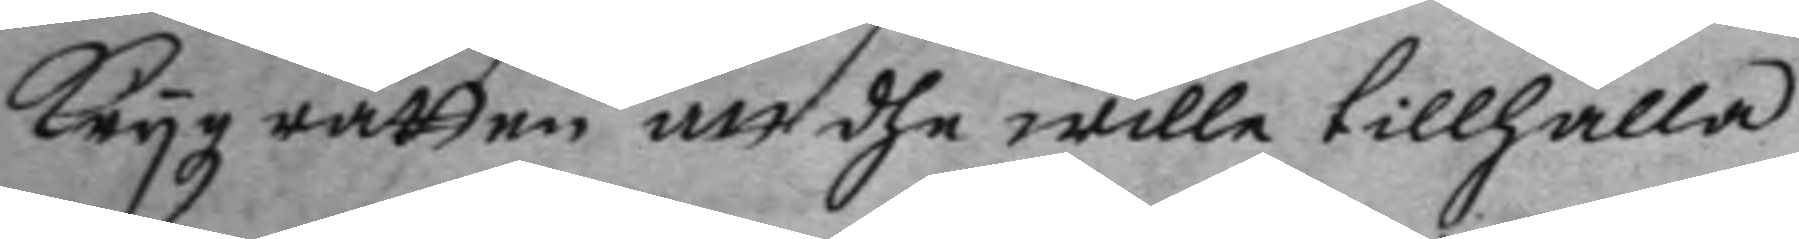Krygz rätten att dhe wille tillhålla
